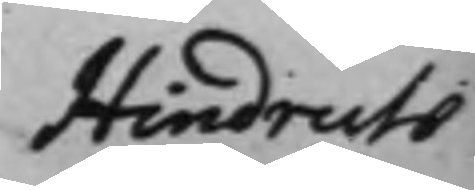Hindrich
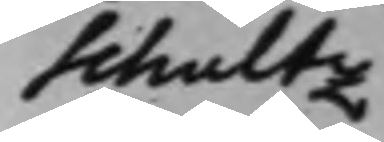Schultz
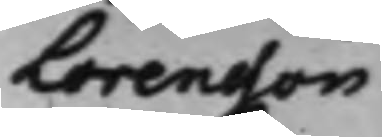Lorensson
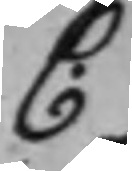C.
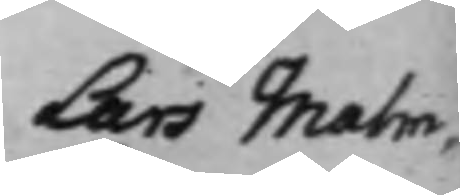Lars Malm¬
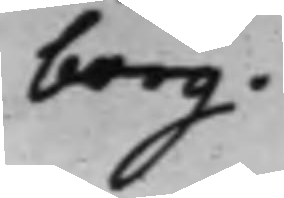borg.
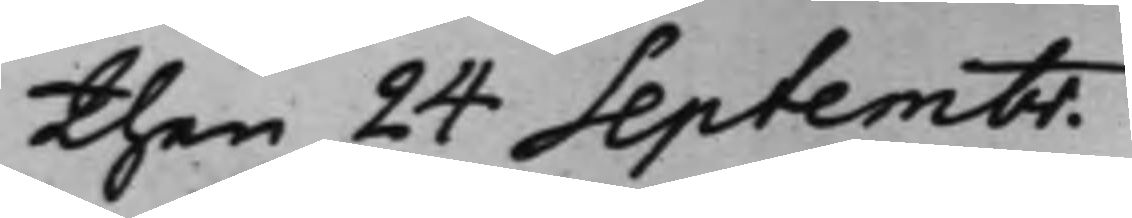then 24 Septembr.
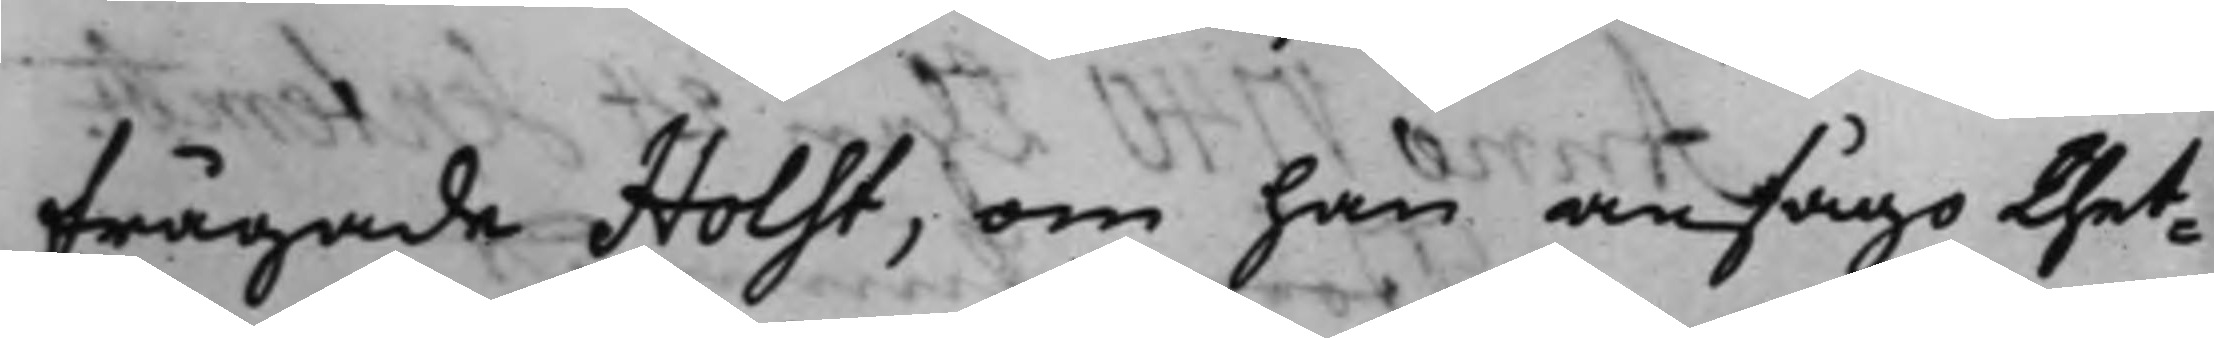frågade Holst, om han ansågo thet¬
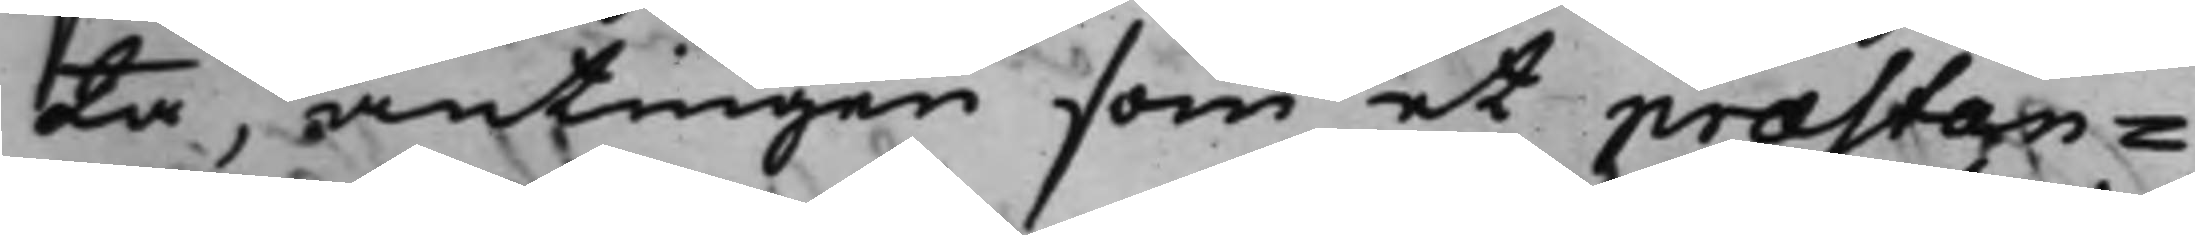ta, antingen som et præstan¬
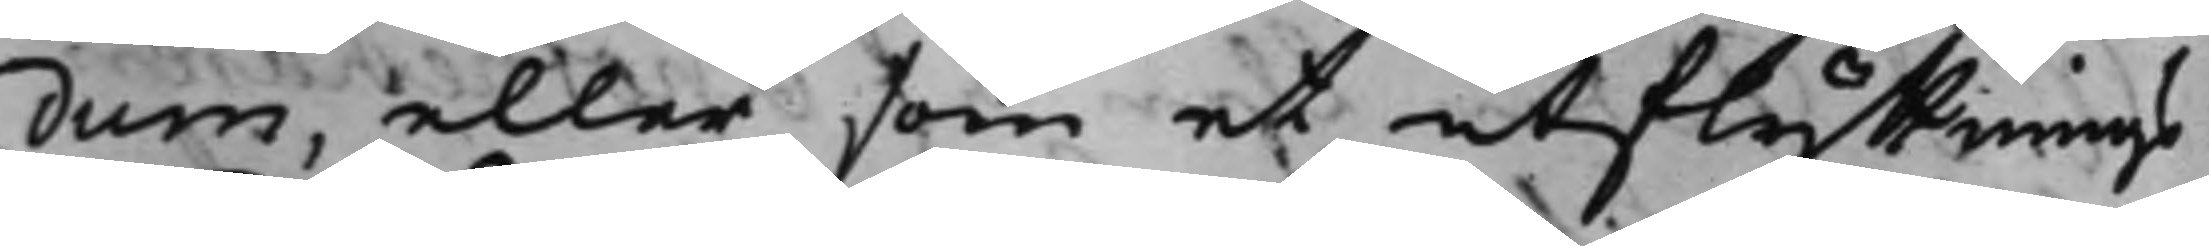dum, eller som et utflyttnings¬
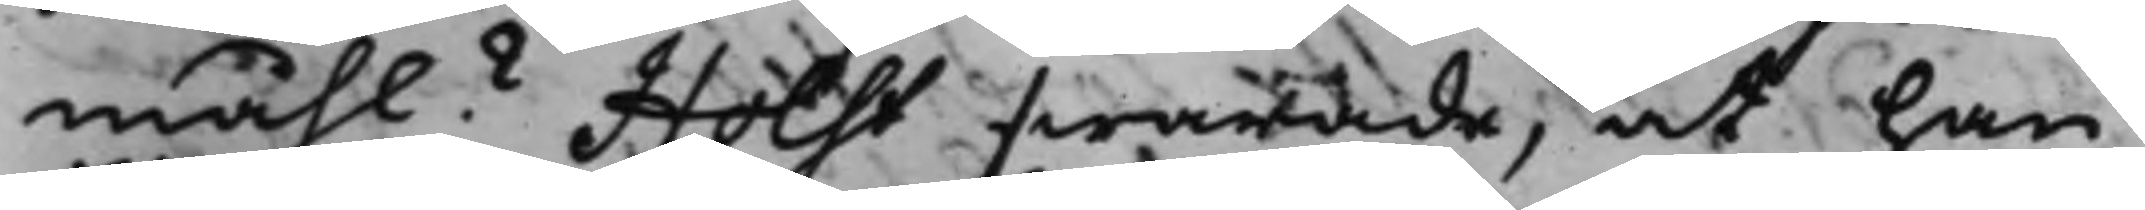måhl? Holst swarade, at han
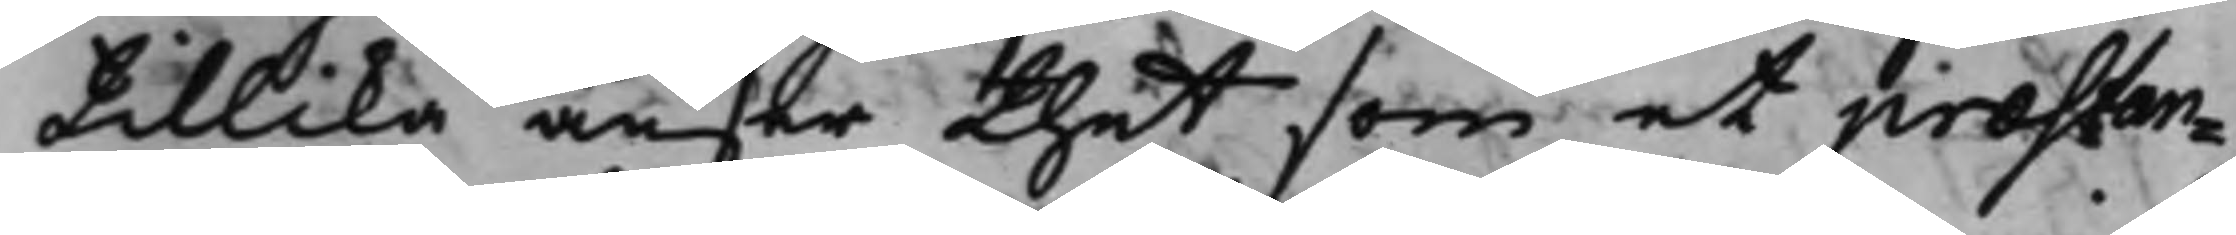tillika anser thet som et præstan¬
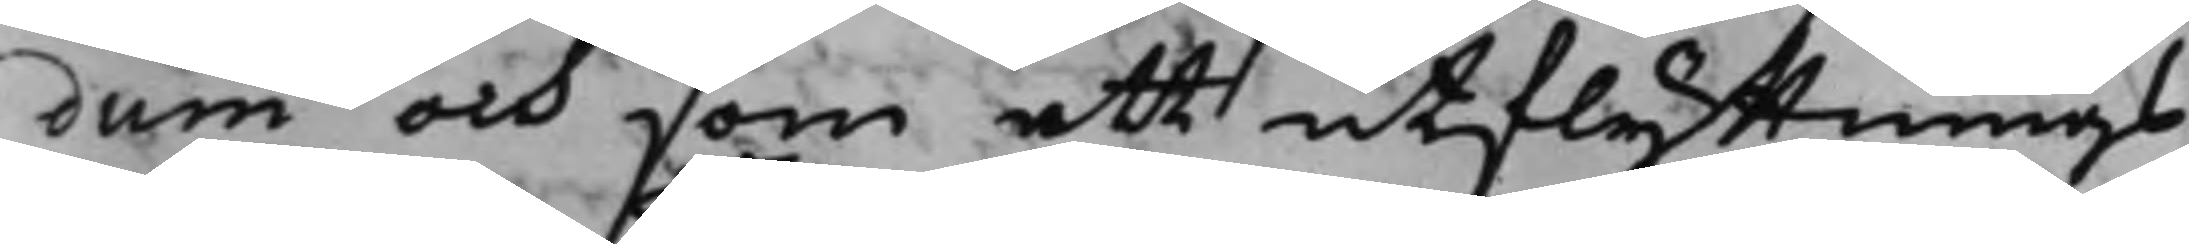dum och som ett utflyttnings¬
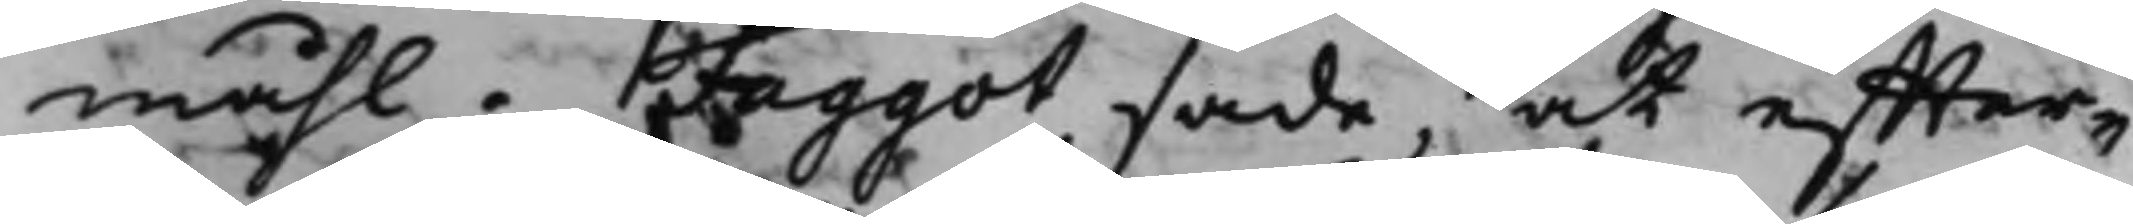måhl. Faggot sade, at effter¬
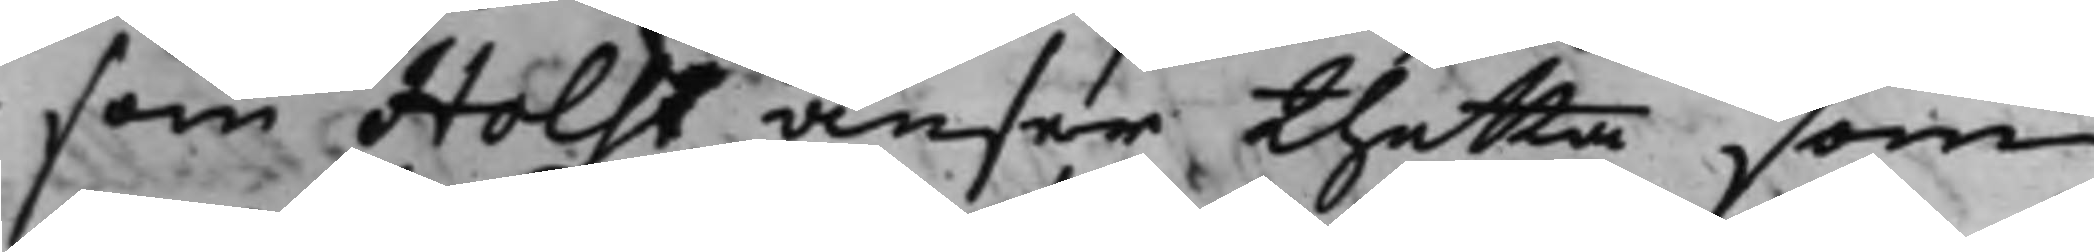som Holst anser thetta som
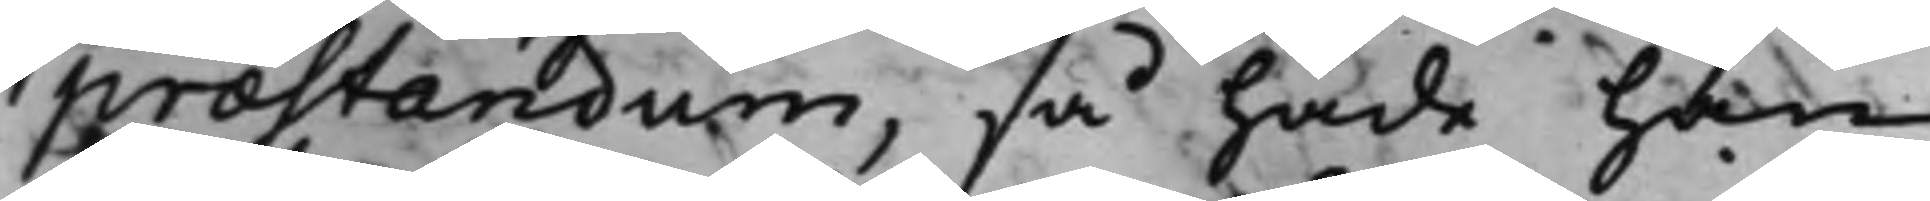præstandum, så hade han
